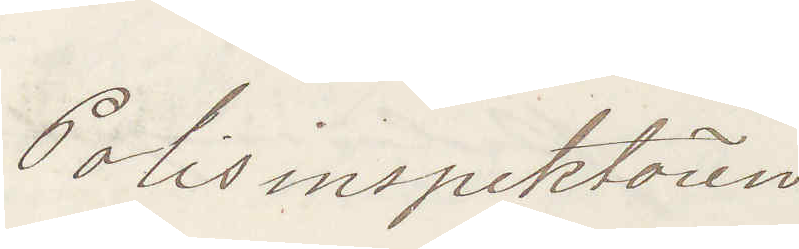Polisinspektören
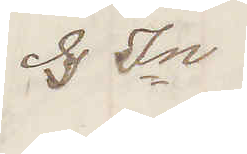S In
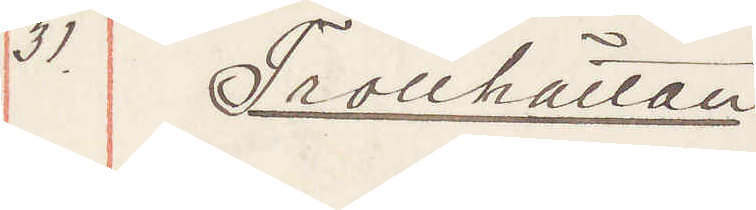31. Trollhättan
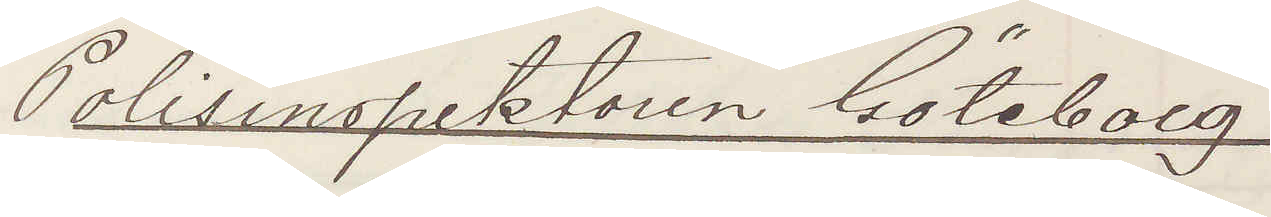Polisinspektoren Göteborg
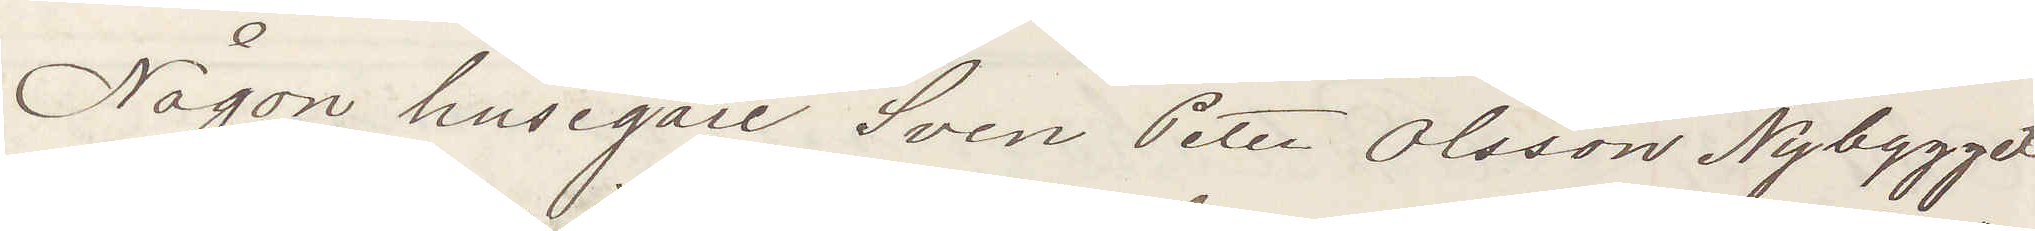Någon husegare Sven Peter Olsson Nybygget
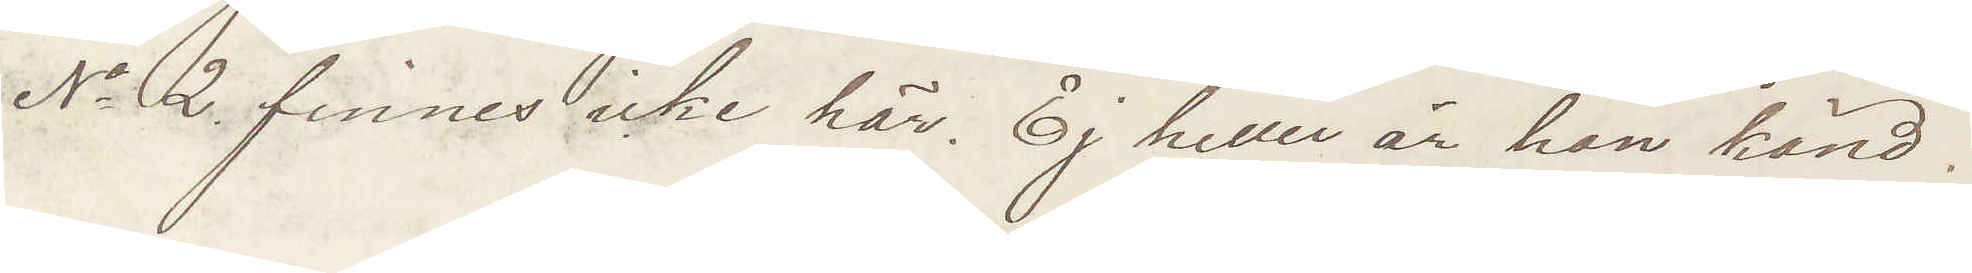No 2 finnes icke här. Ej heller är han känd!
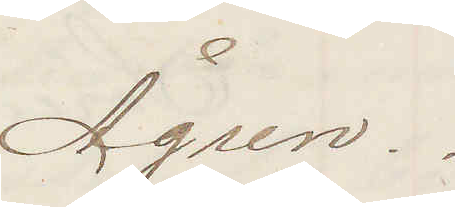Ågren.
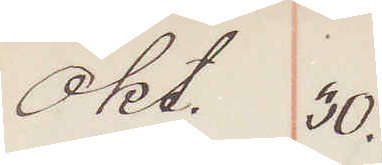Okt. 30.
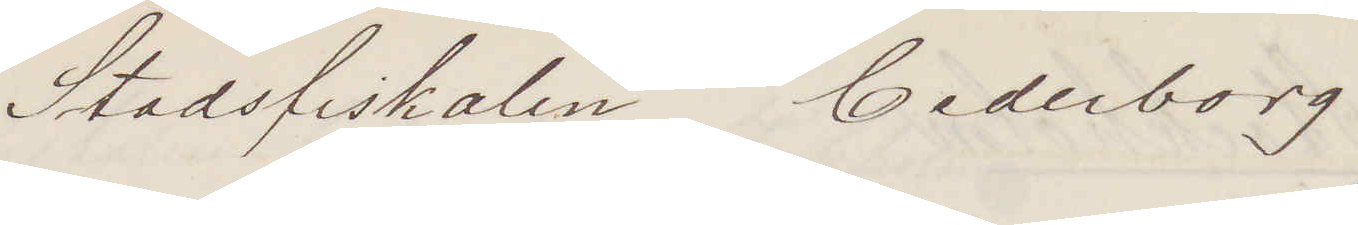Stadsfiskalen Cederborg
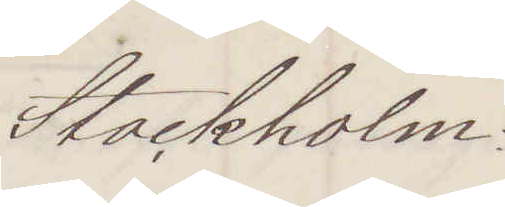Stockholm:
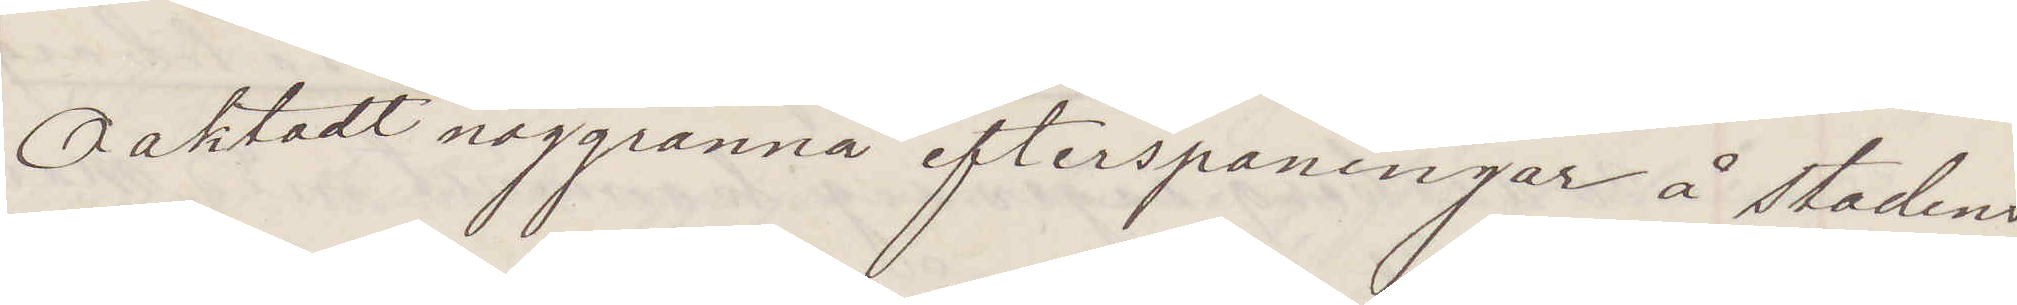Oaktadt noggranna efterspaningar å stadens
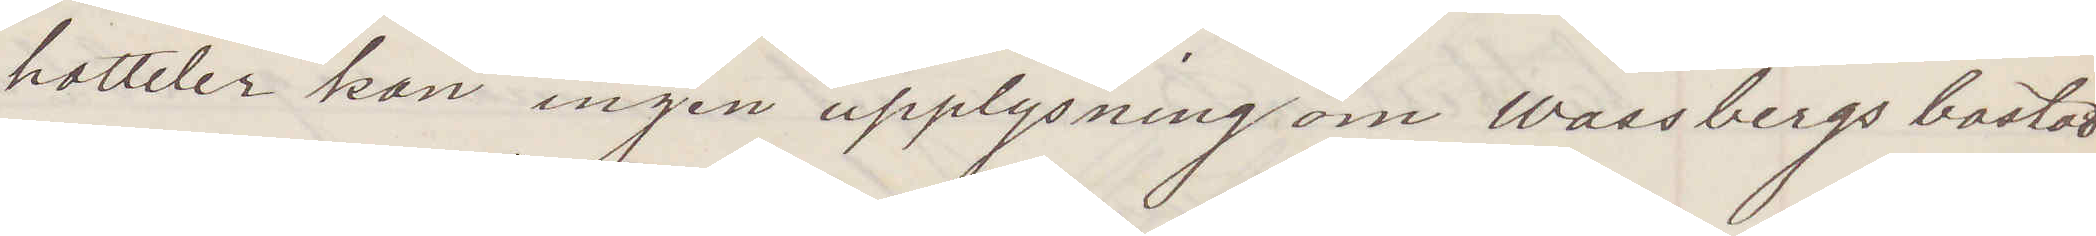hotteler kan ingen upplysning om Wassbergs bostad
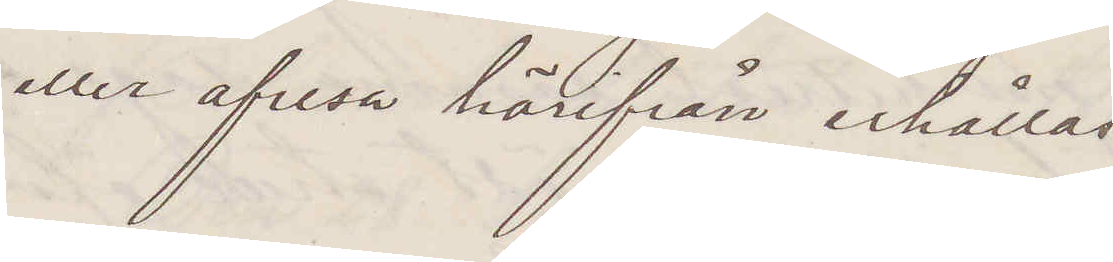eller afresa härifrån erhållas
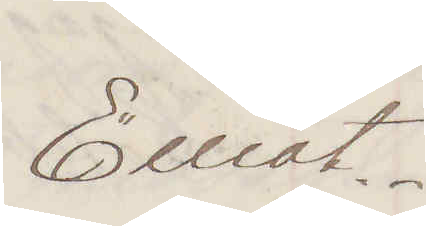Elliot.
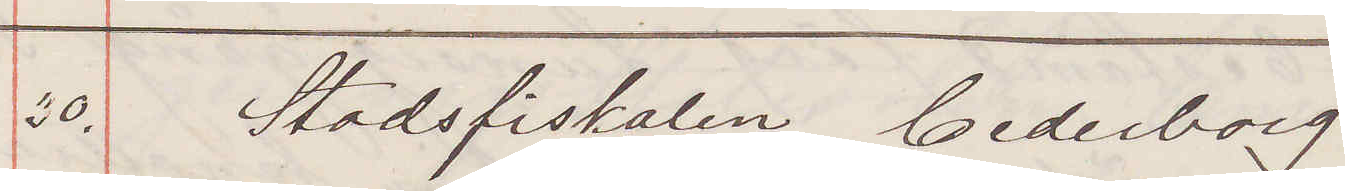30. Stadsfiskalen Cederborg
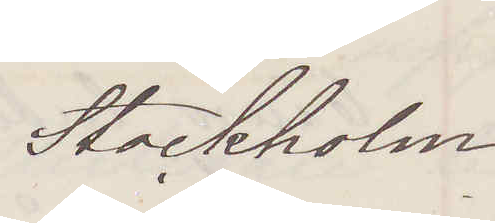Stockholm
